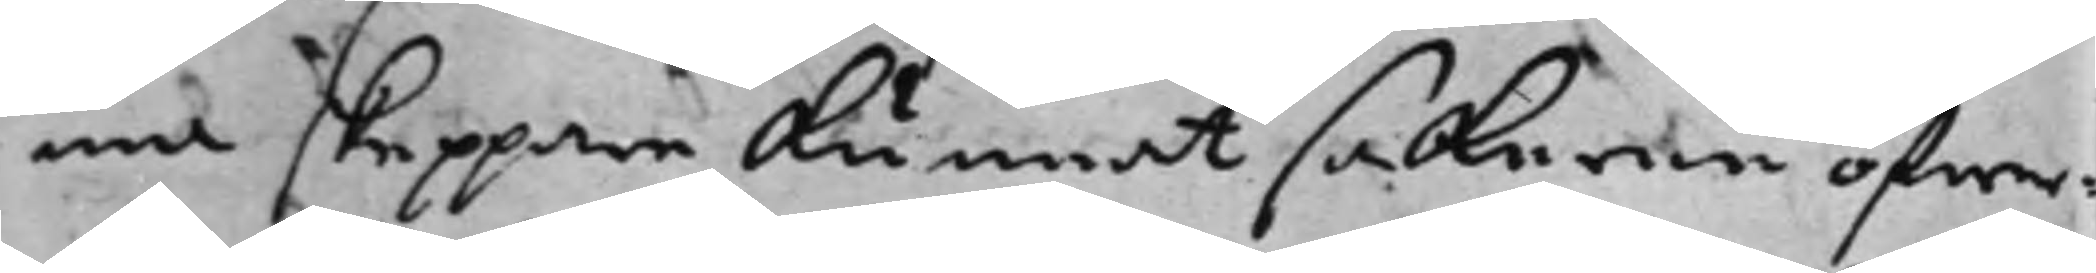ma skeppare kunnat sakerne öfwer¬
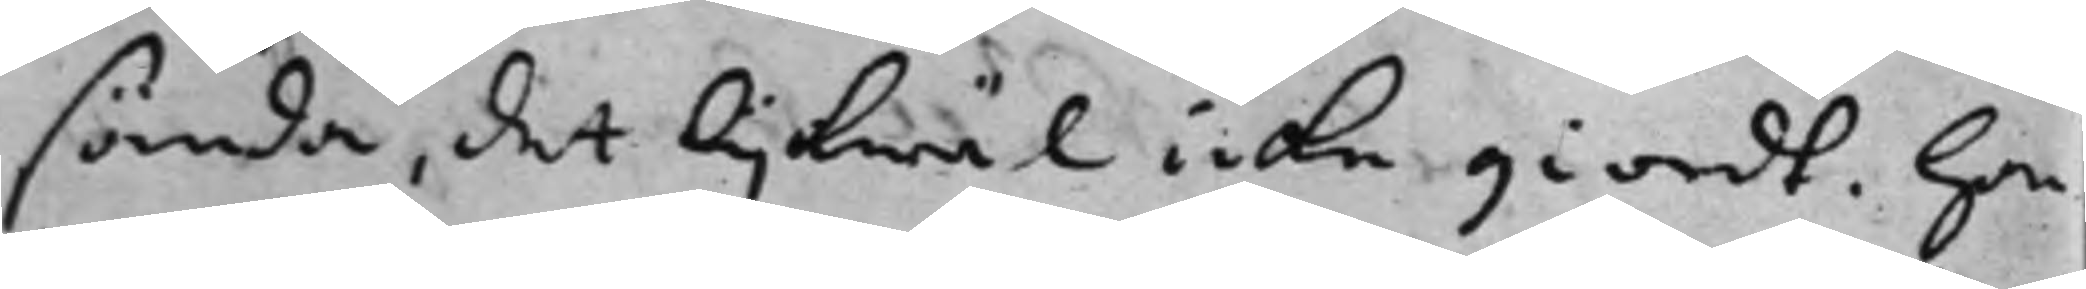sända, det lijkwäl icke giordt. Han¬
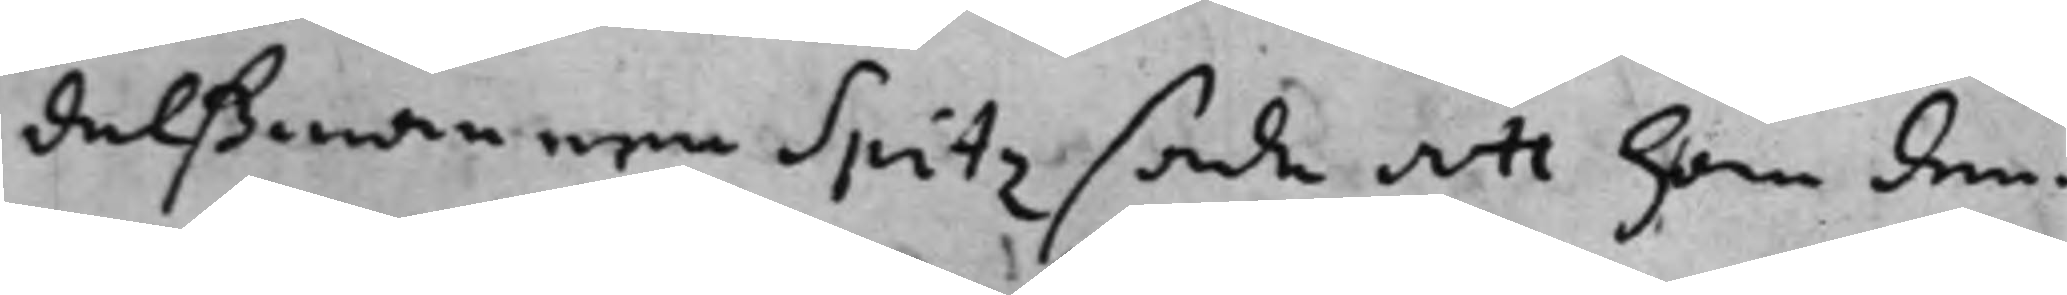delßmannen Spitz sade att han den¬
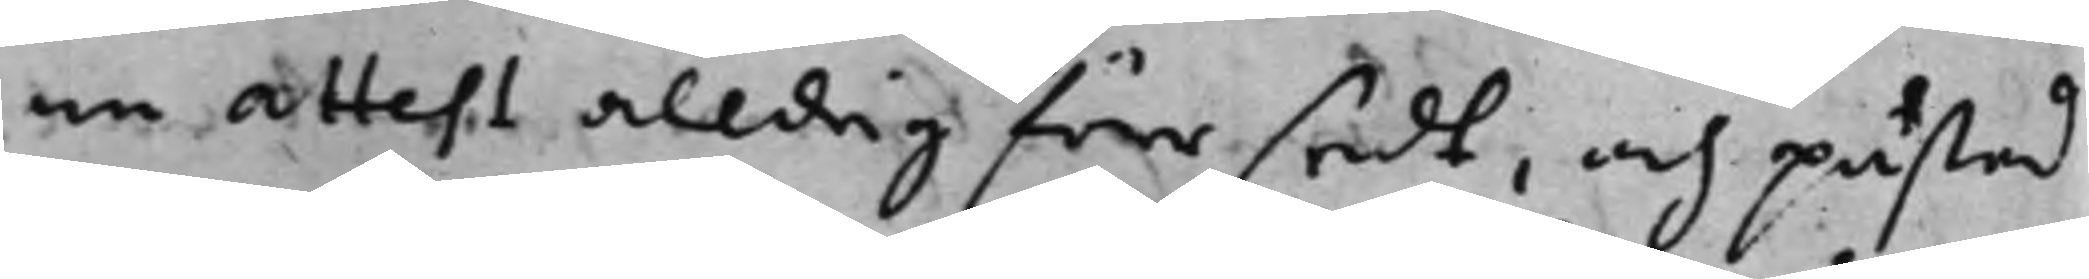ne attest alldrig förr sedt, och påstod
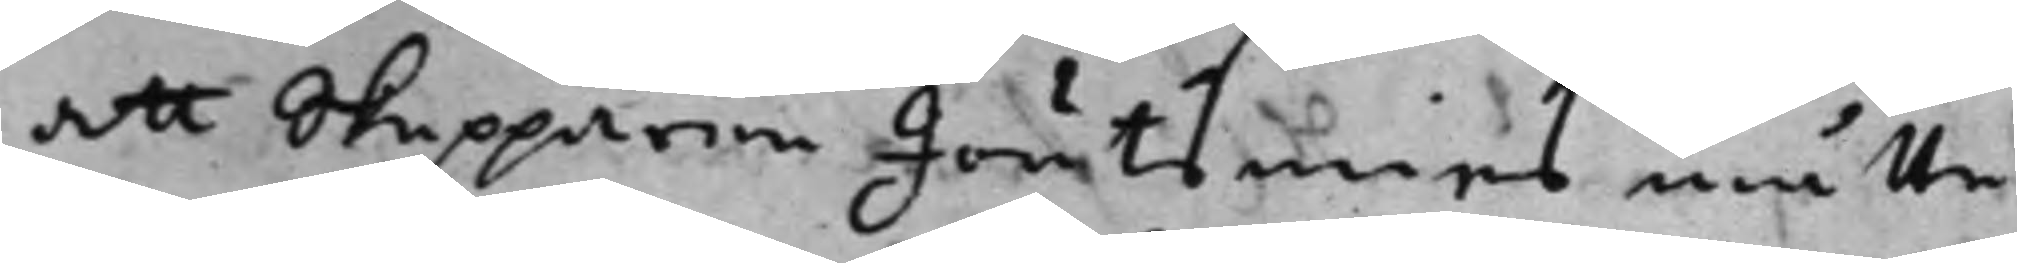att skepparen Joutsenius måtte
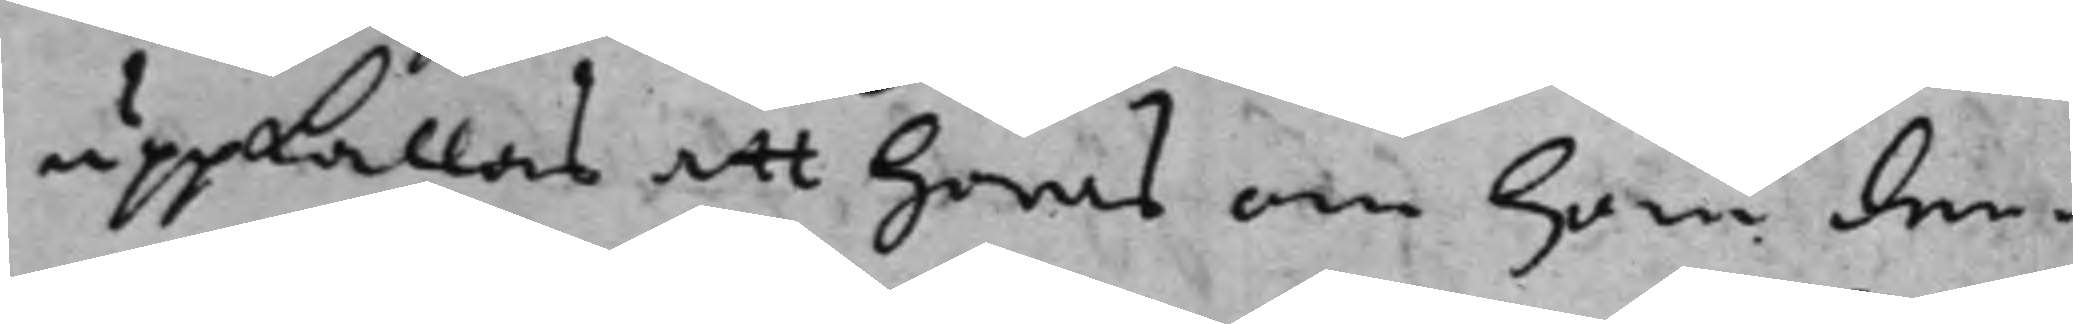uppkallas att höras om han den¬
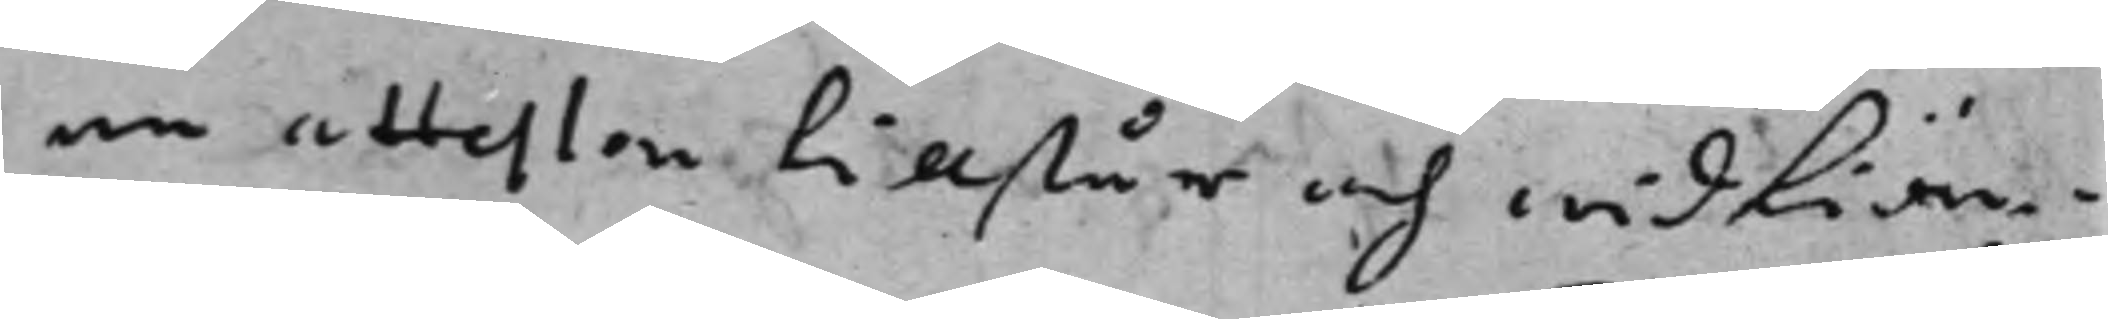ne attesten tillstår och widkiän¬
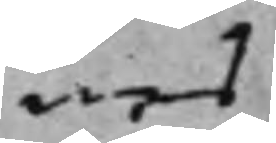nes
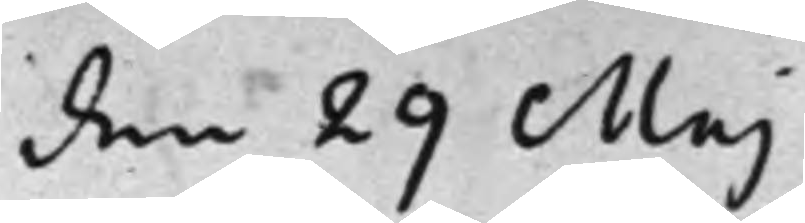den 29 Maj
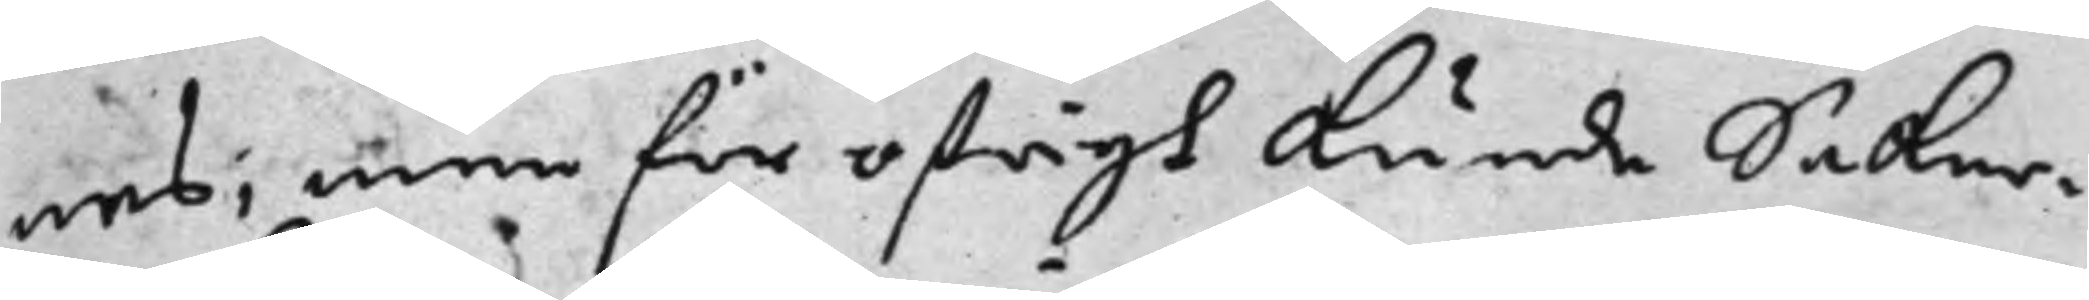nes, men för öfrigt kunde Saker¬
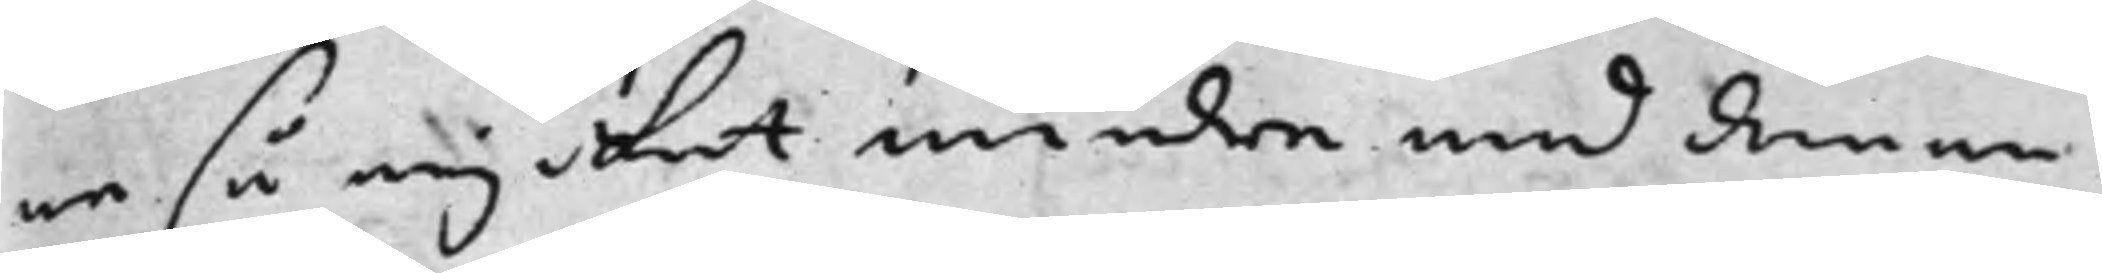na så mycket mindre med denna
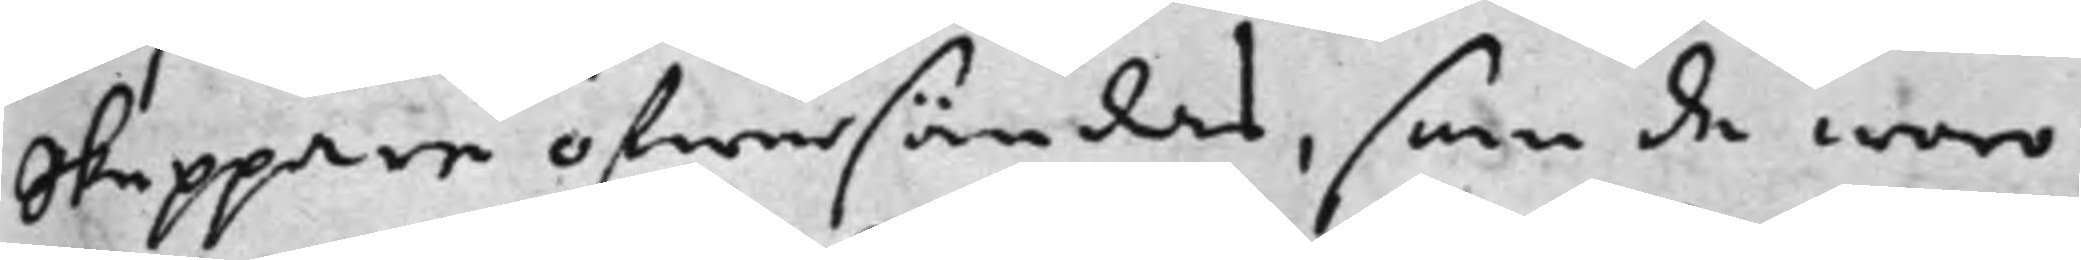Skeppare öfwersändas, som de woro
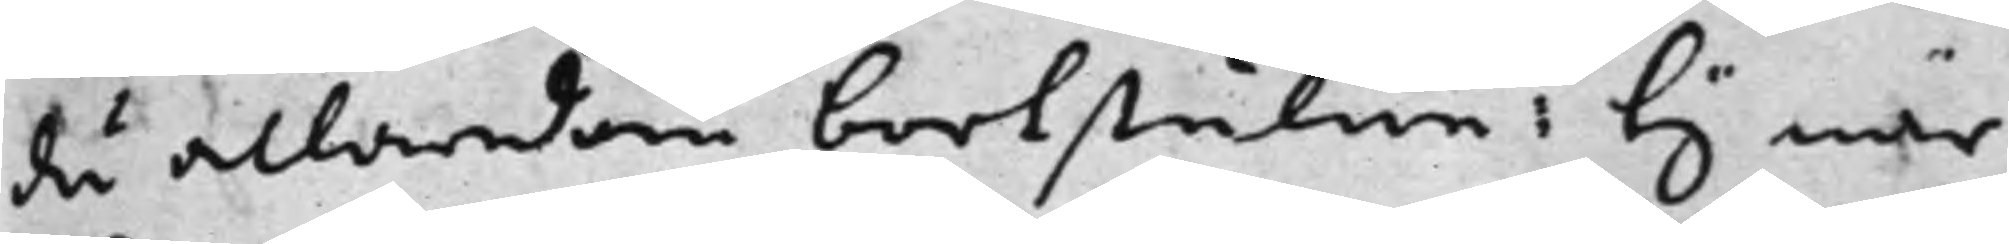då allaredan bortstulne: ty när
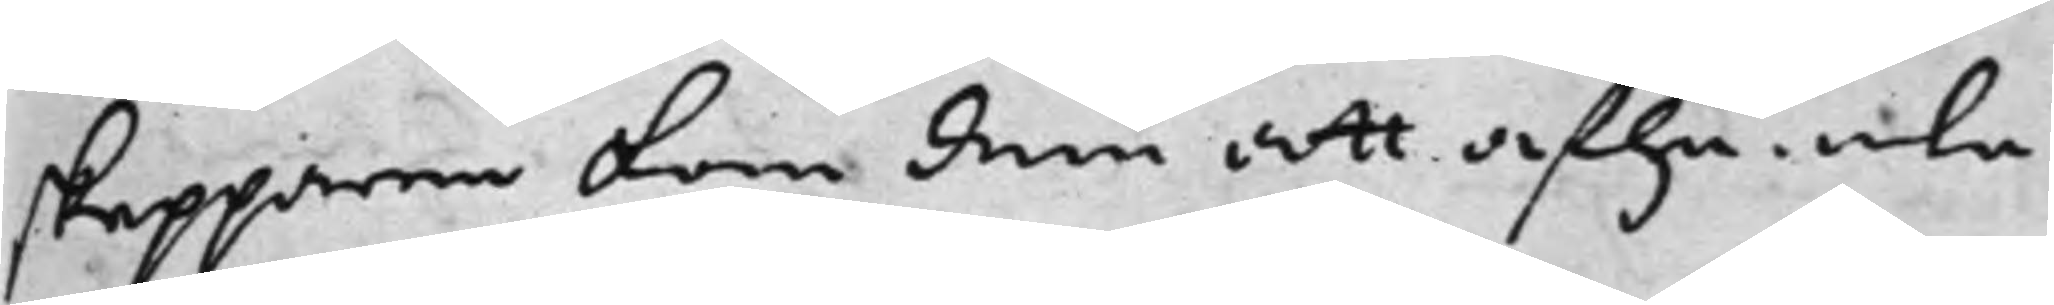skepparen kom dem att afhämta
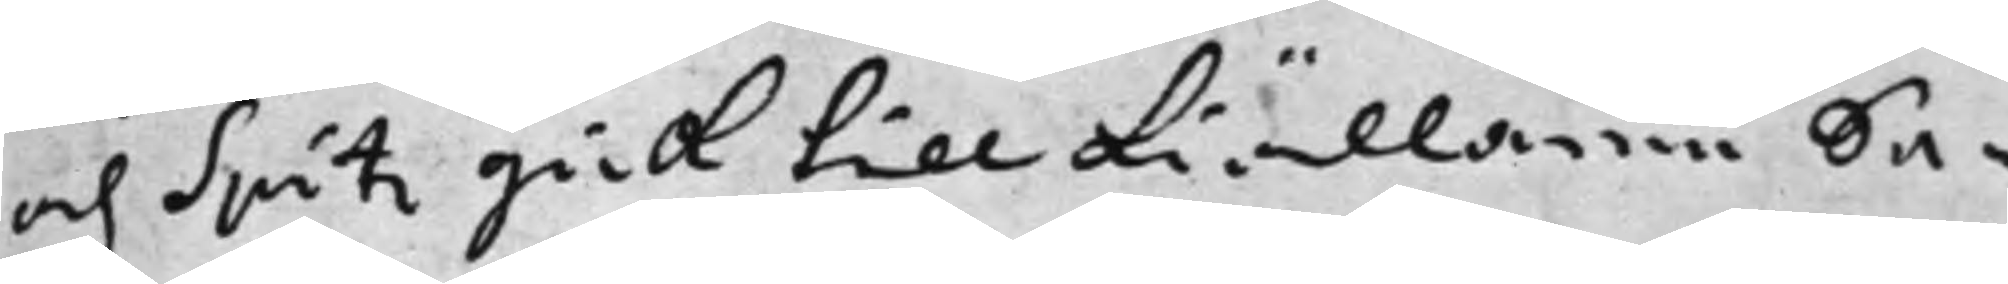och Spitz gick till kiällaren Sa¬
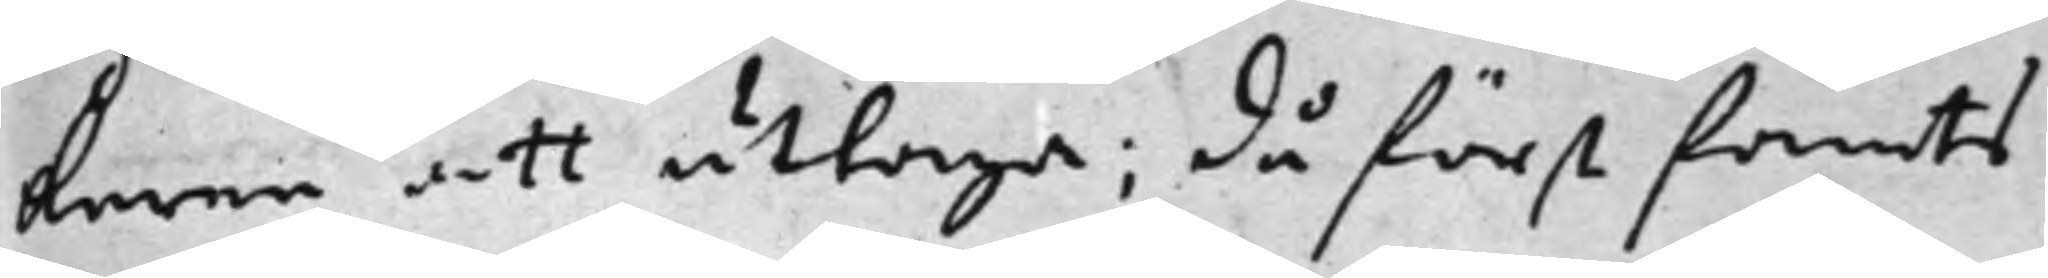karne att uttaga; då först fannts
